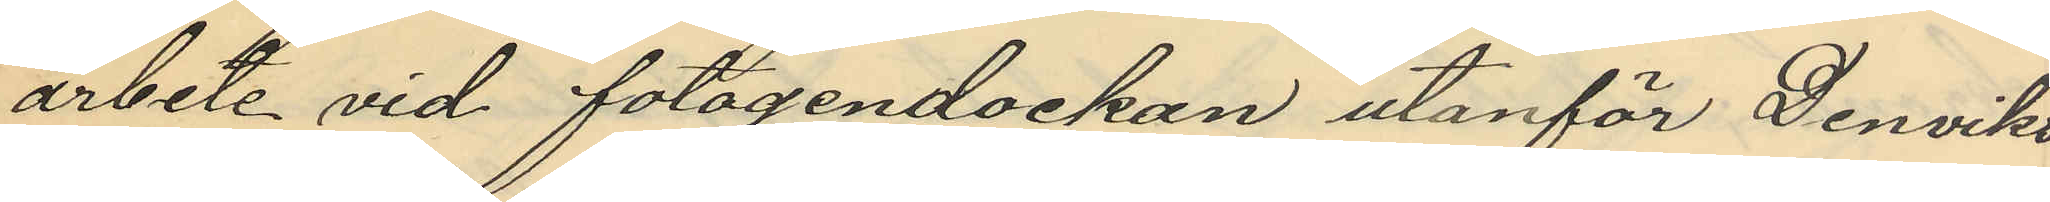arbete vid fotogendockan utanför Denviks
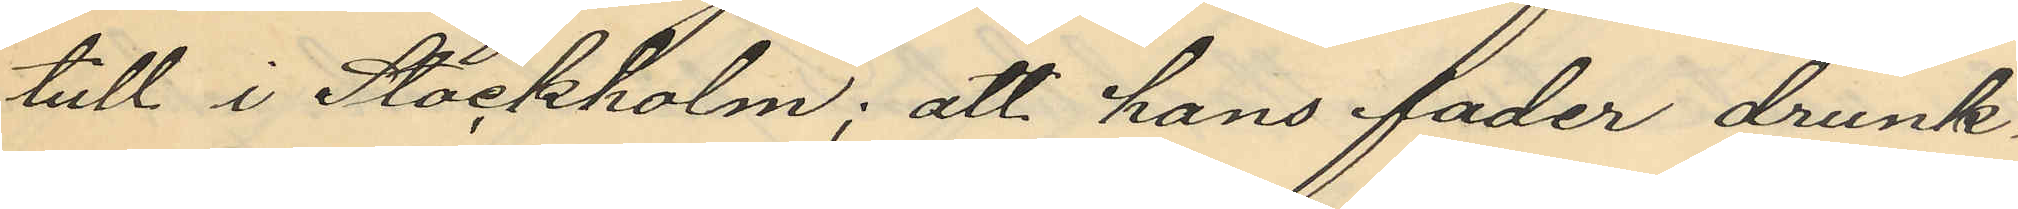tull i Stockholm; att hans fader drunk¬
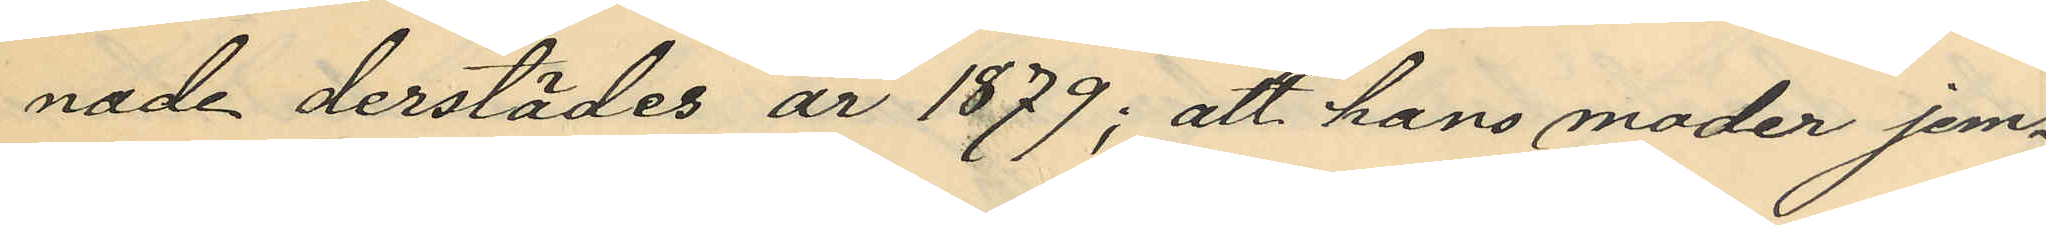nade derstädes år 1879; att hans moder jem¬
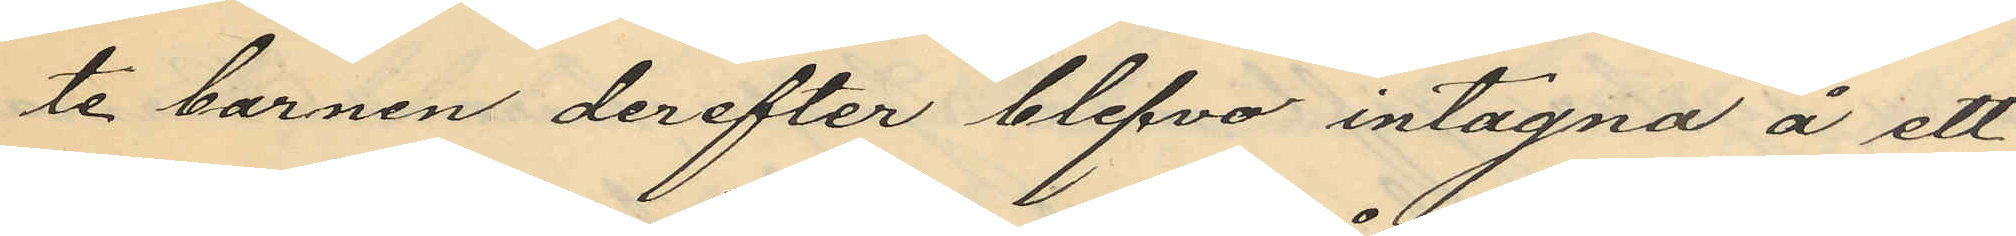te barnen derefter blefvo intagna å ett
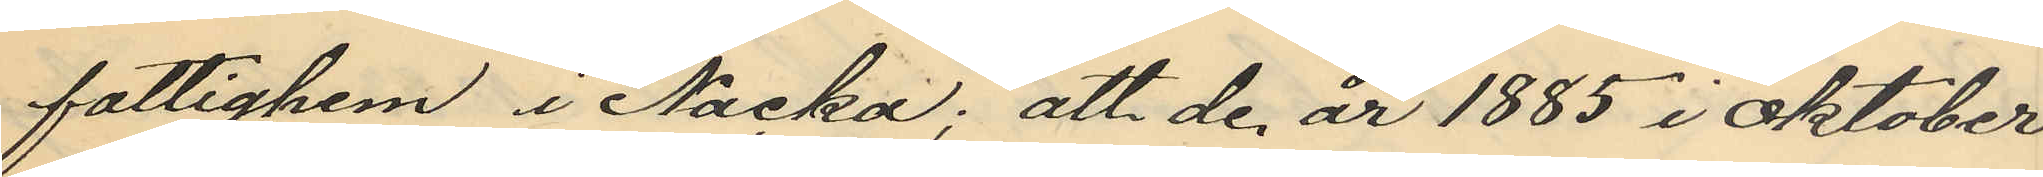fattighem i Nacka; att de år 1885 i oktober
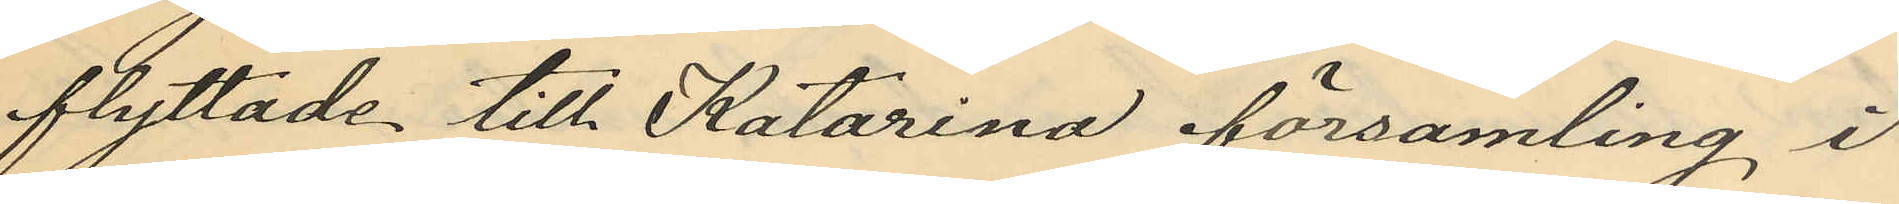flyttade till Katarina församling i
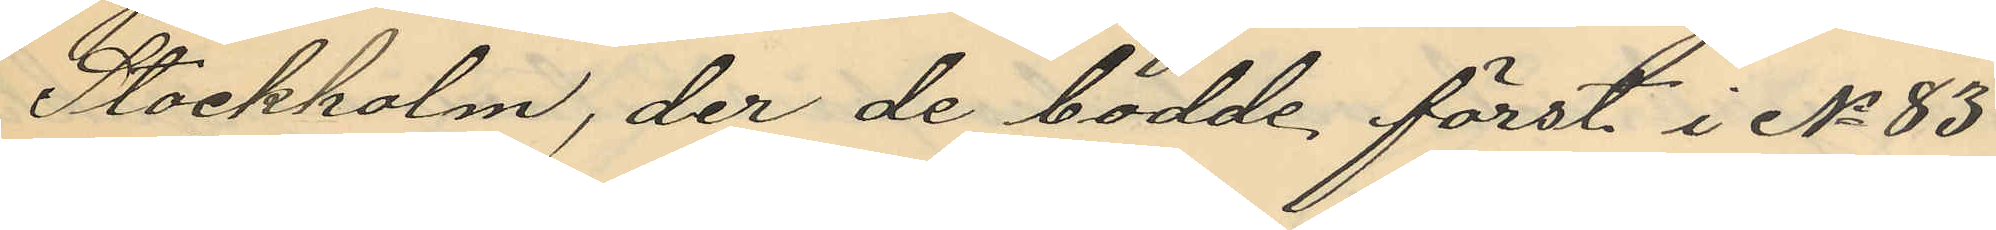Stockholm, der de bodde, först i No 83
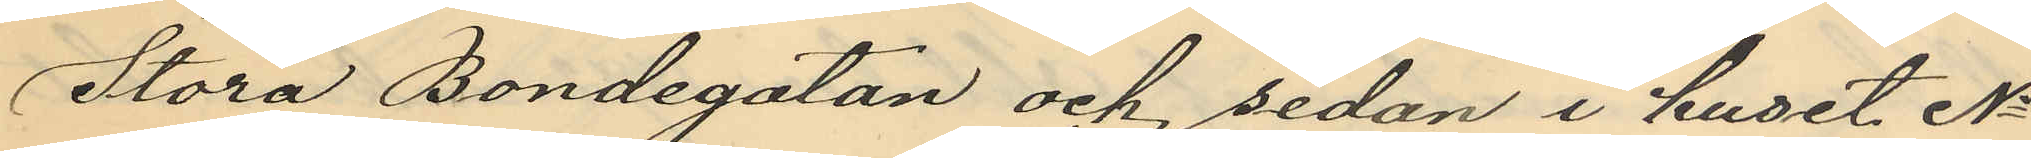Stora Bondegatan och, sedan i huset No
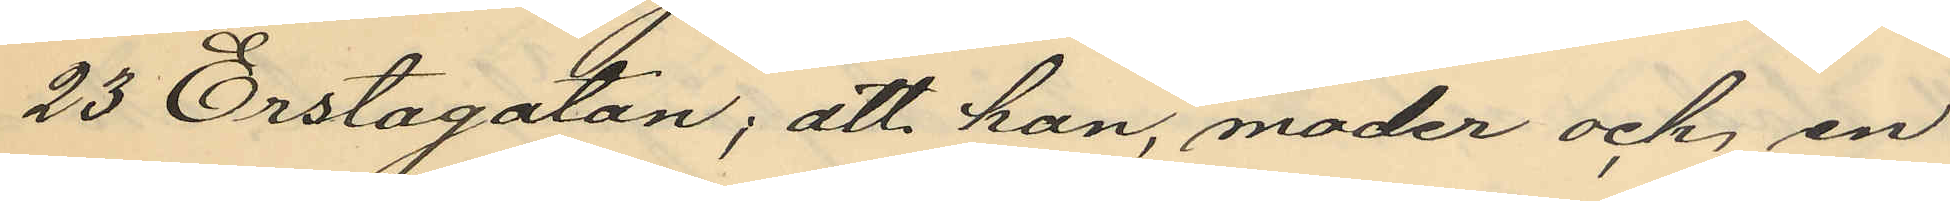23 Erstagatan, att han, moder och, en
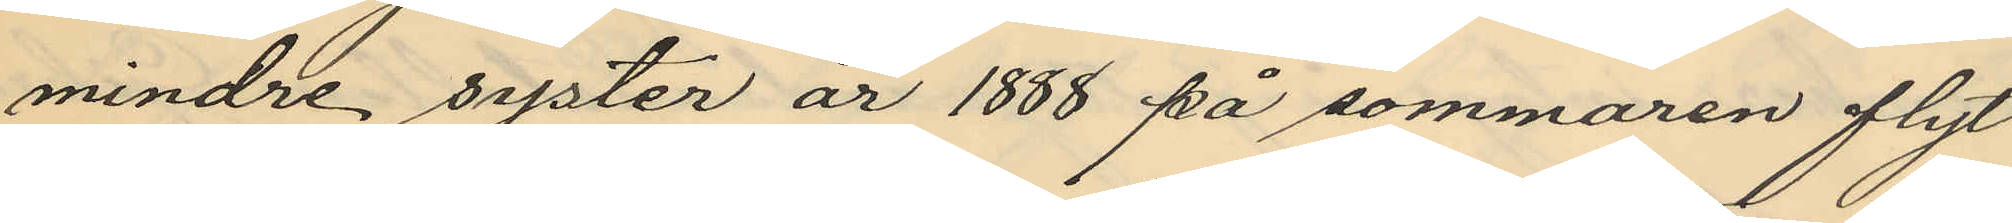mindre syster år 1888 på sommaren flyt¬
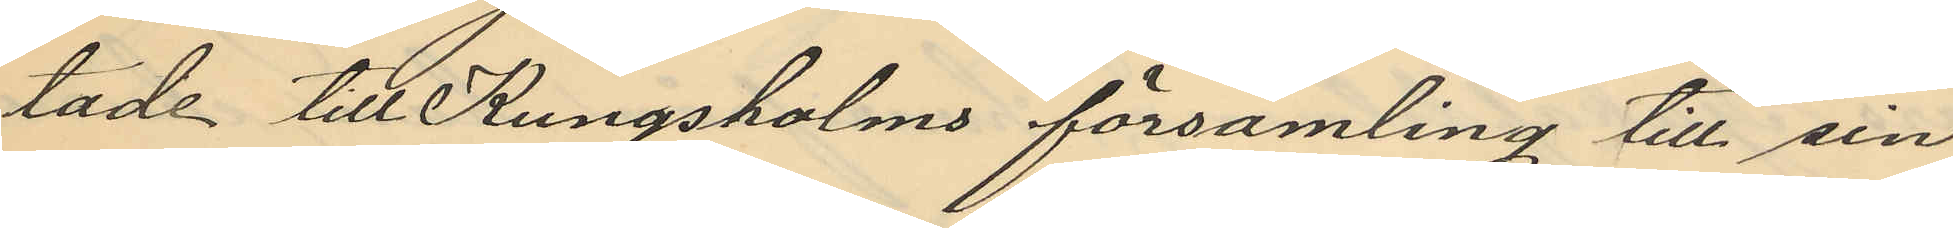tade till Kungsholms församling till sin
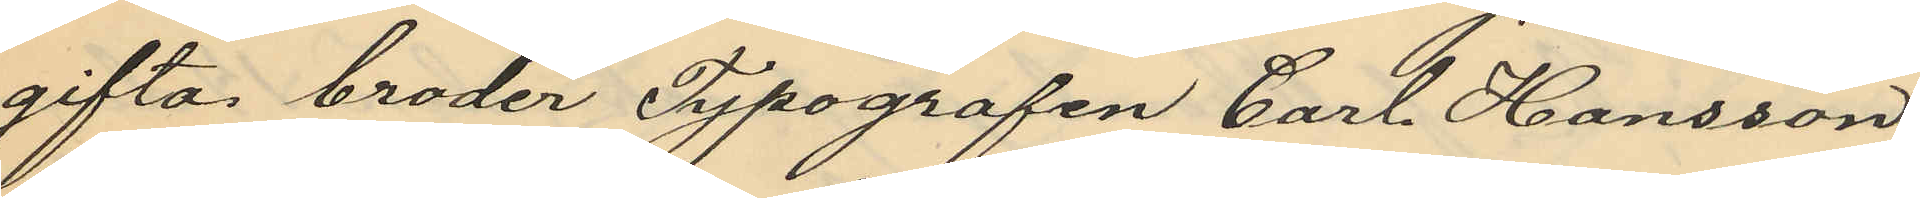gifta broder Typografen Carl Hansson,
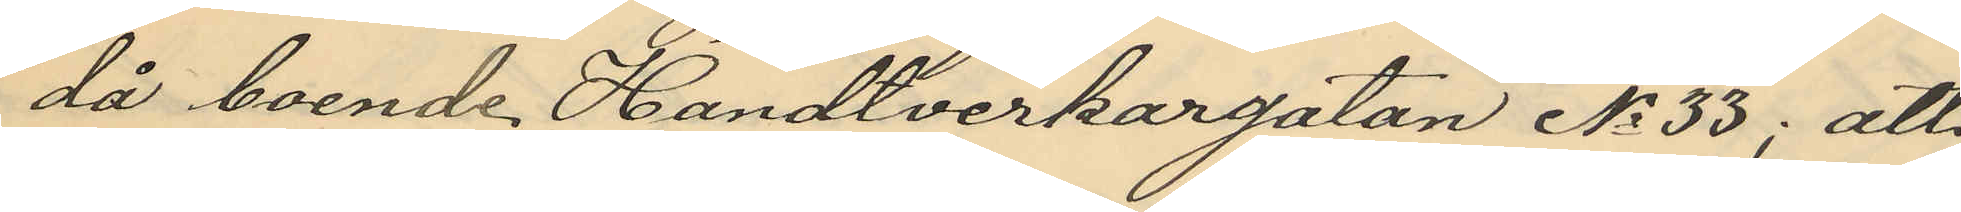då boende Handtverkargatan No 33; att
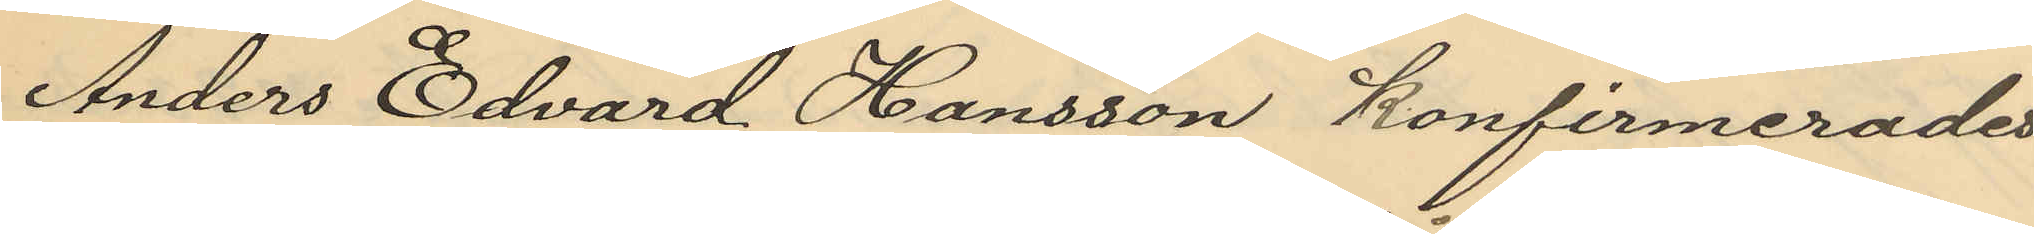Anders Edvard Hansson konfirmerades
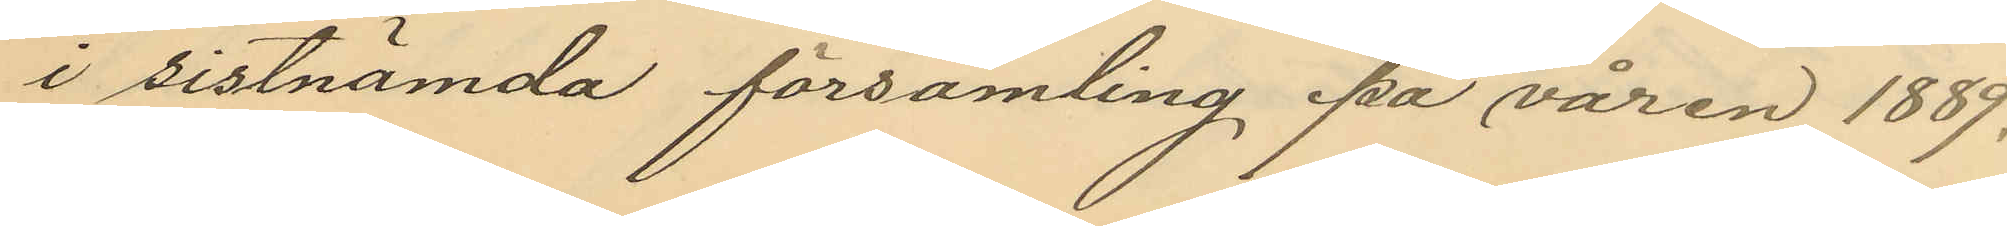i sistnämnda församling på våren 1889;
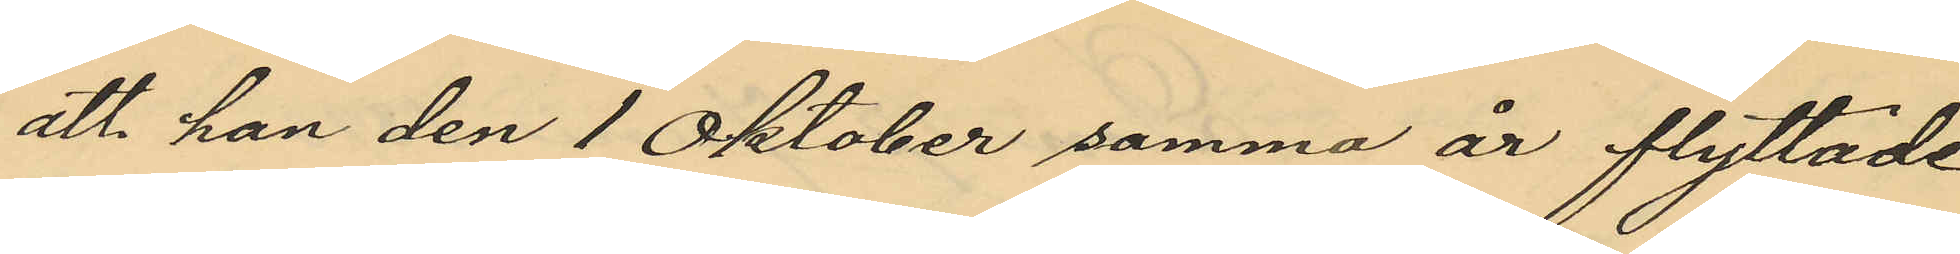att han den 1 Oktober samma år flyttade
